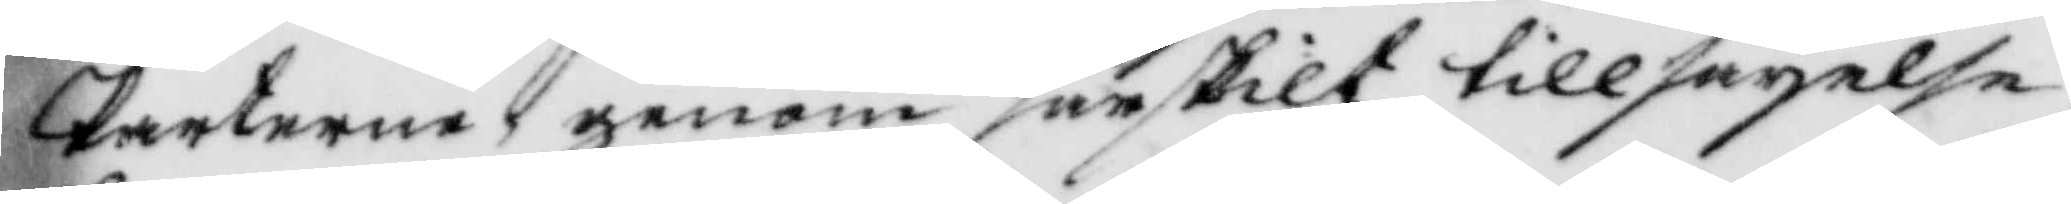Parterne genom särskilt tillsäyelse,
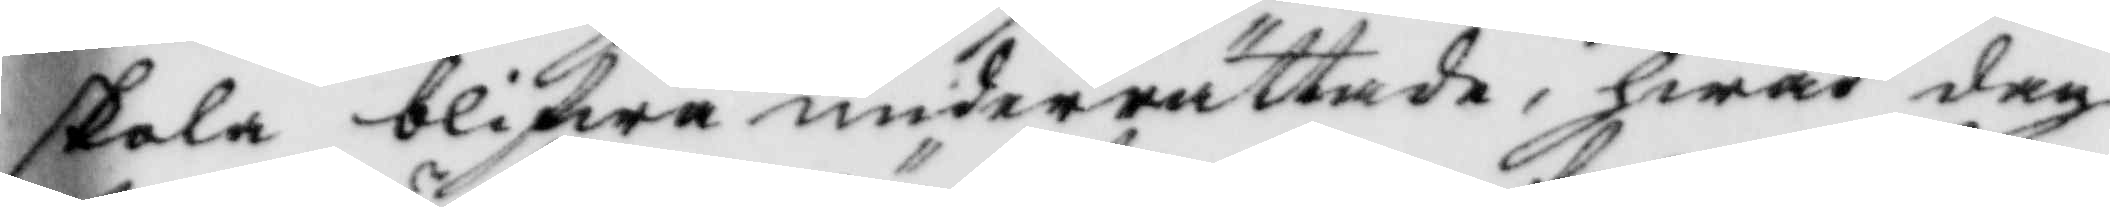skola blifwa underrättade, hwad dag
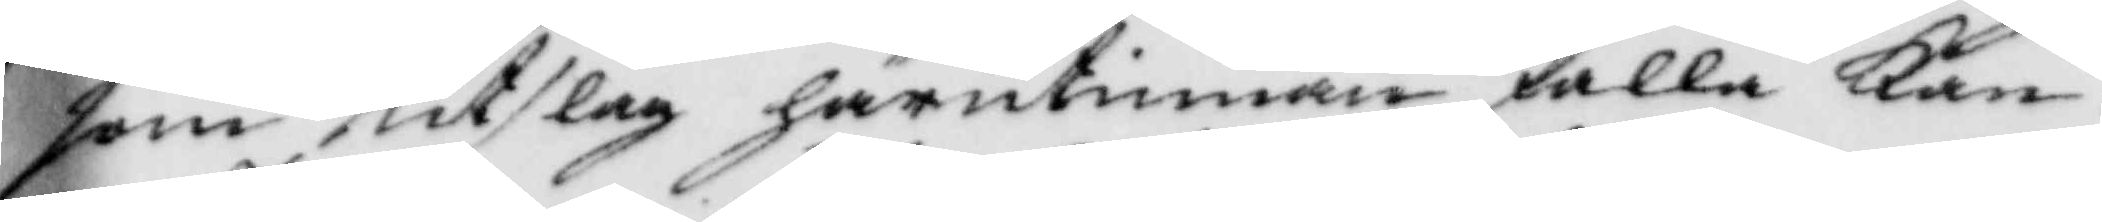som utslag härutinnan falla Kan.
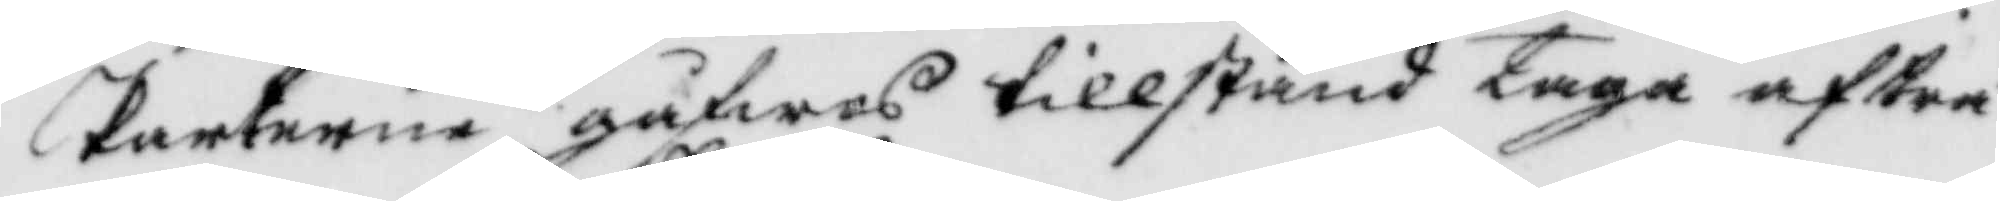Parterne gåfwos tillstånd taga afträ¬
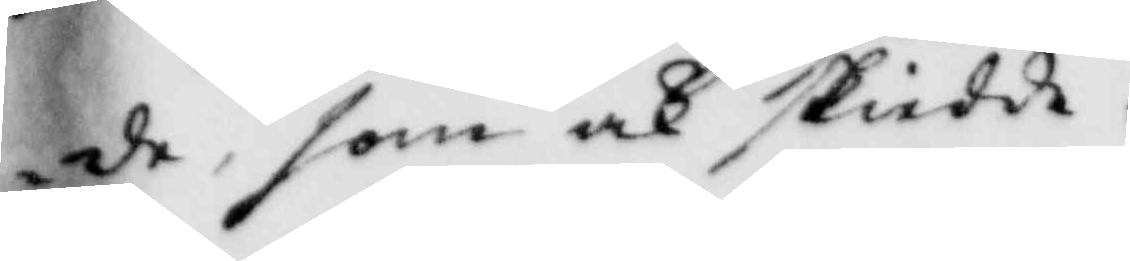de, som och skiedde.
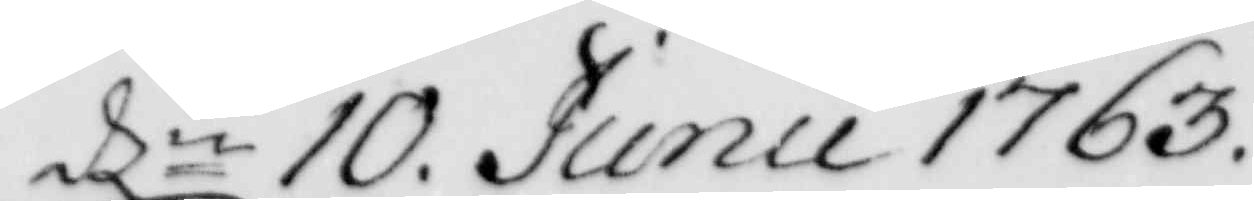dln 10. Junii 1763.
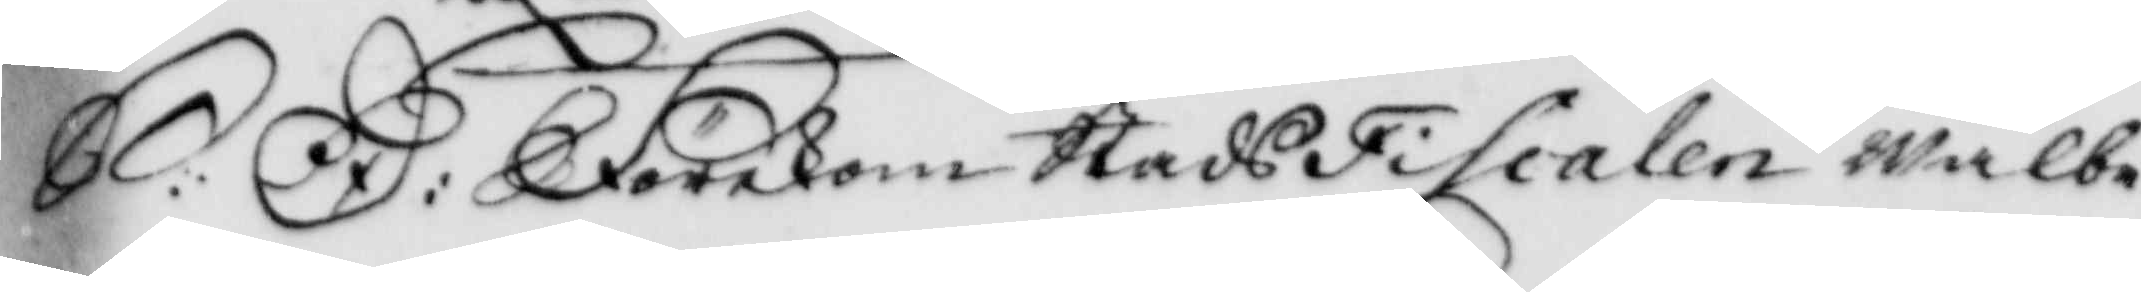S:D: Förekom StadzFiscalen wälbe¬
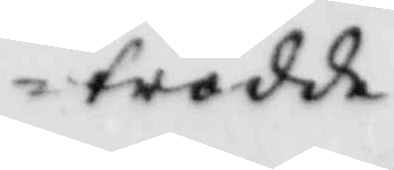trodde
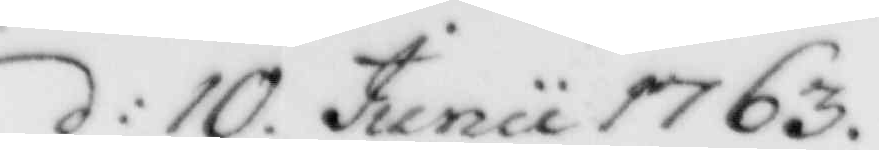d:10 Junii 1763.
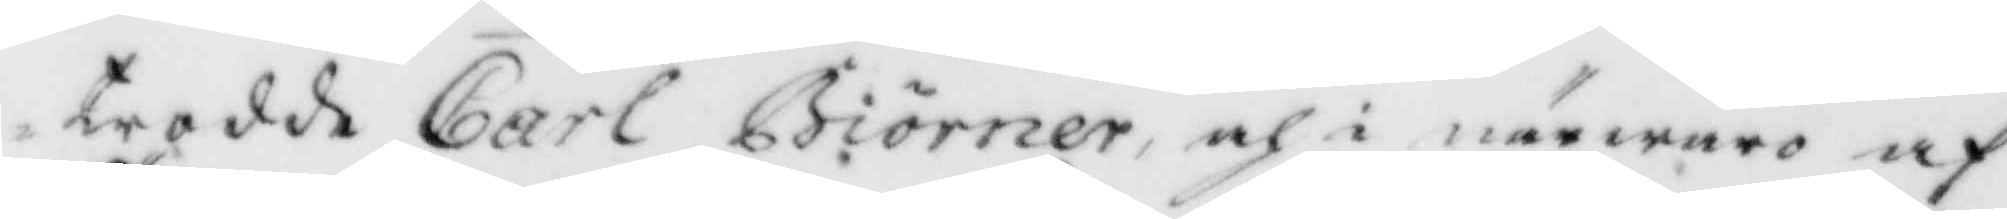trodde Carl Biörner, och i närwaro af
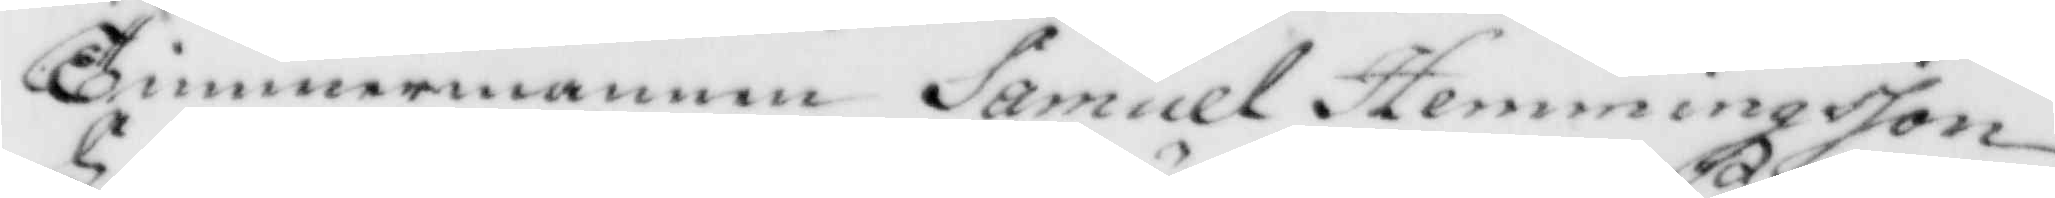Timmermannen Samuel hemmingsson
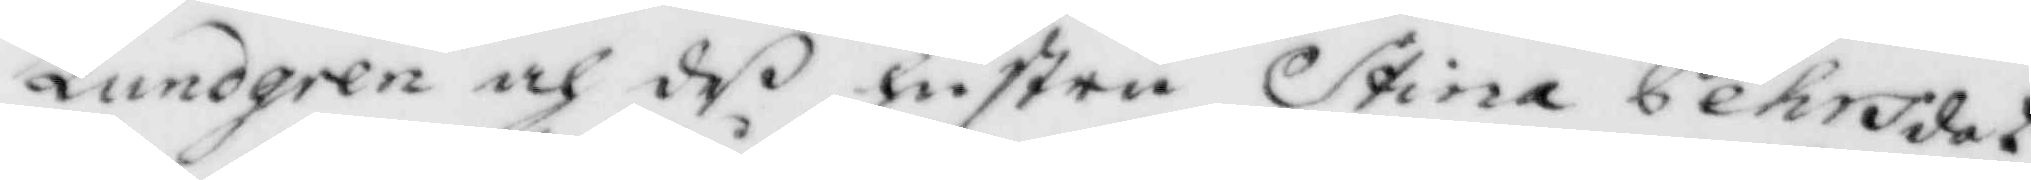Lundgren och deß hustru Stina Pehrsdot¬
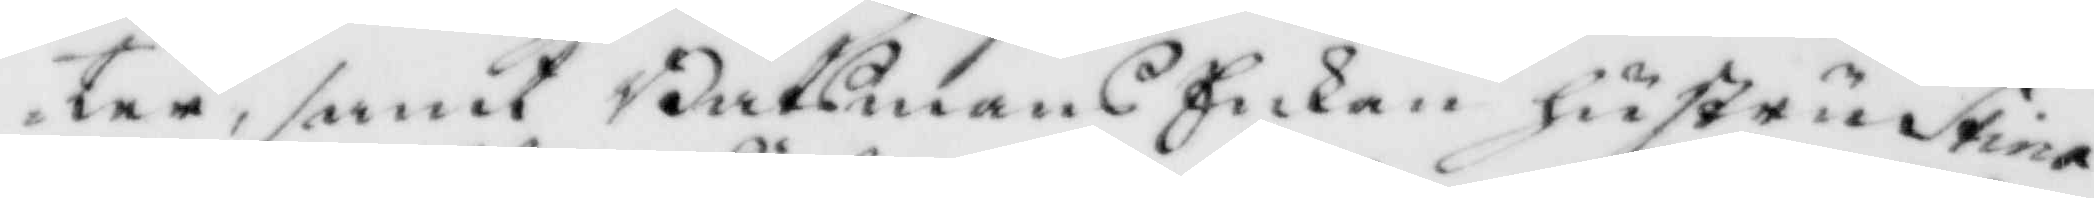ter, samt Båtsmans Enkan hustru Stina
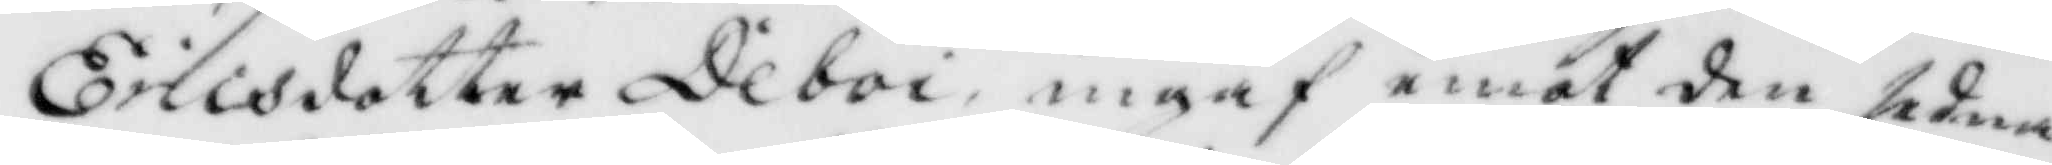ericsdotter Deboi, ingaf emot den sedna¬
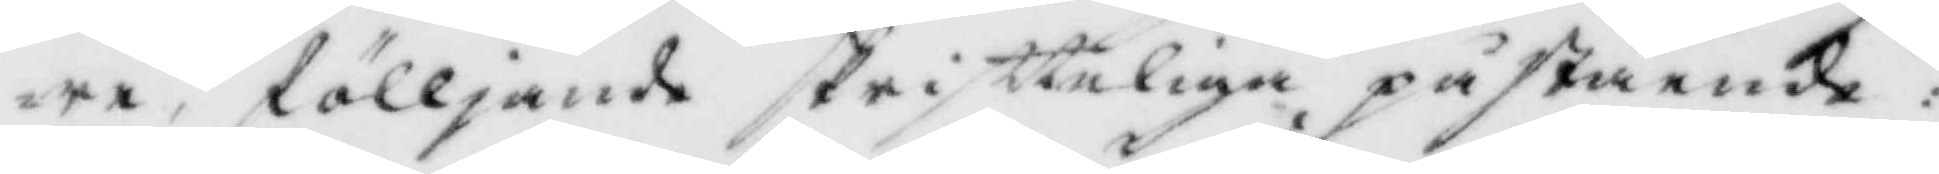re, fölljande skrifteliga påstående:
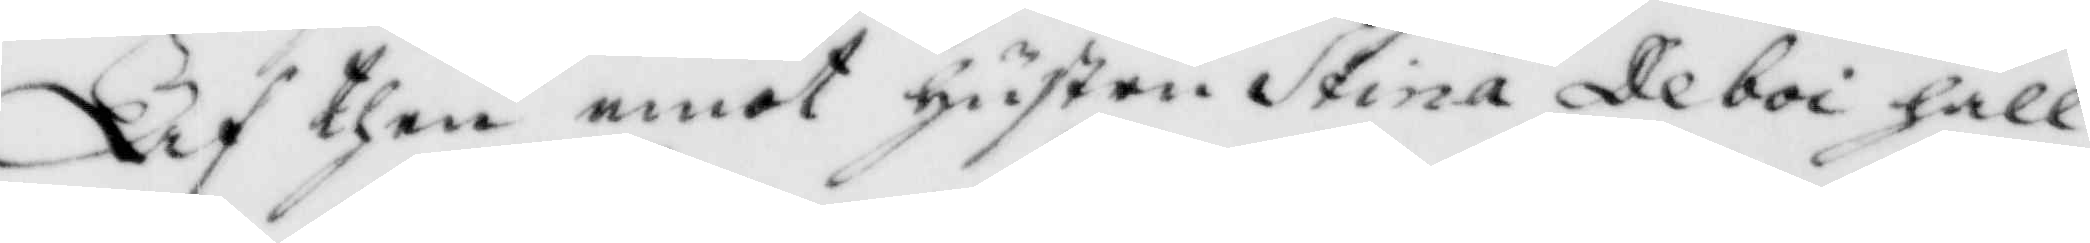Af then emot hustru Stina Deboi håll¬
